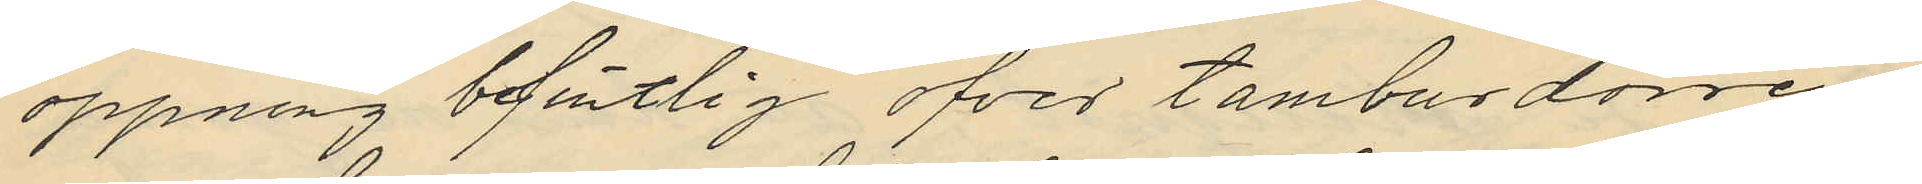öppning befintlig öfver tamburdörren
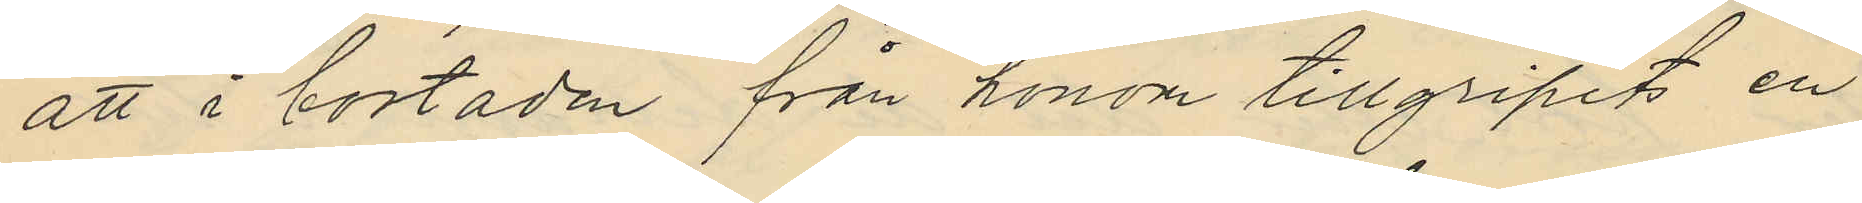att i bostaden från honom tillgripits en
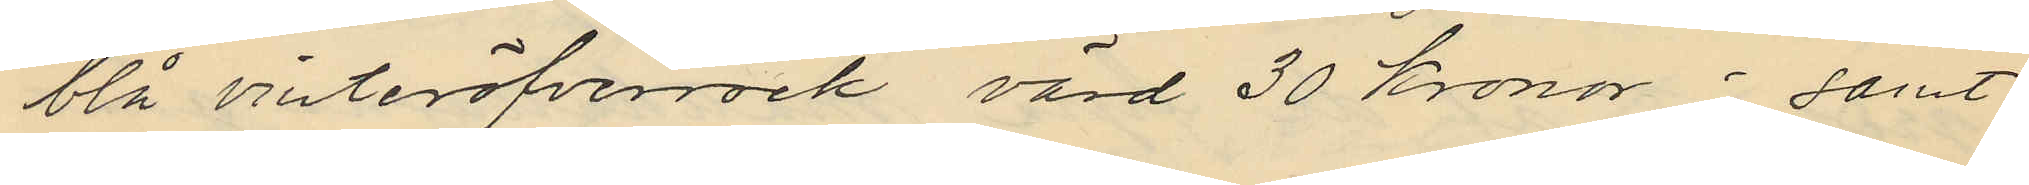blå vinteröfverrock värd 30 kronor; samt
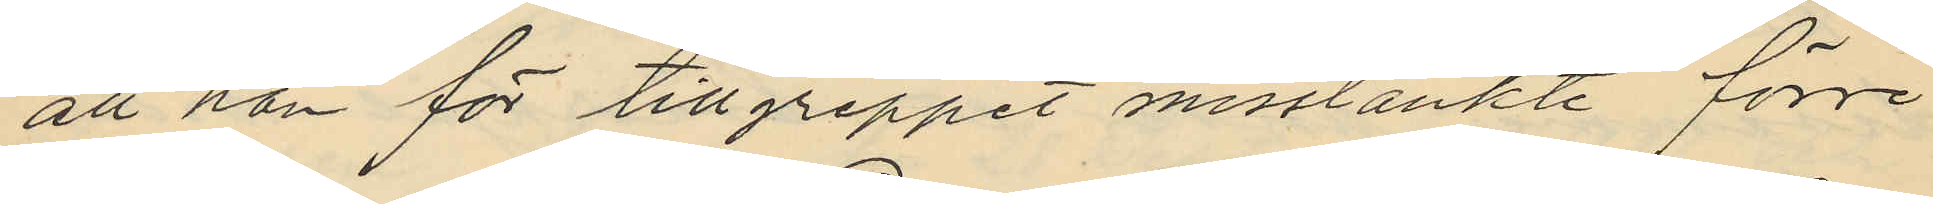att han för tillgreppet misstänkte förre
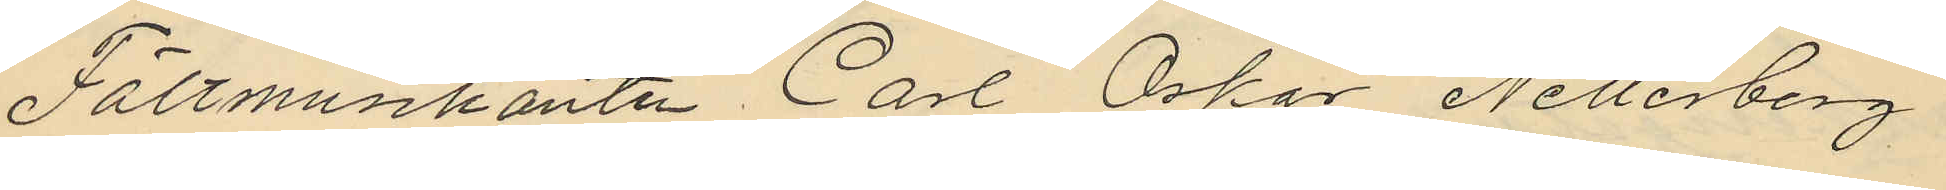Fältmusikanten Carl Oskar Netterberg
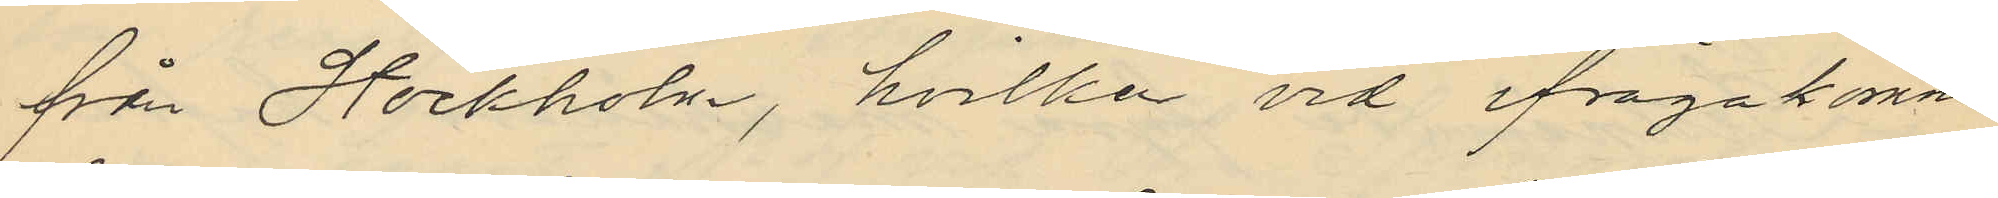från Stockholm, hvilka vid ifrågakomne
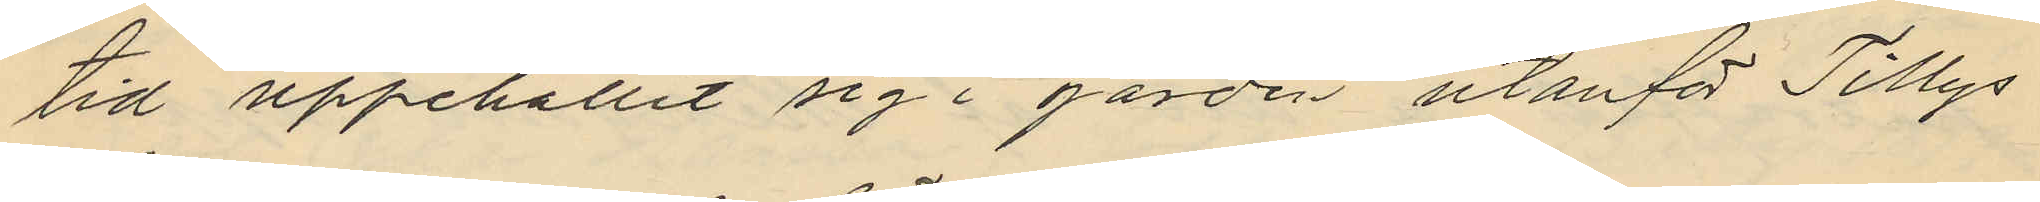tid uppehållit sig i gården utanför Tillys
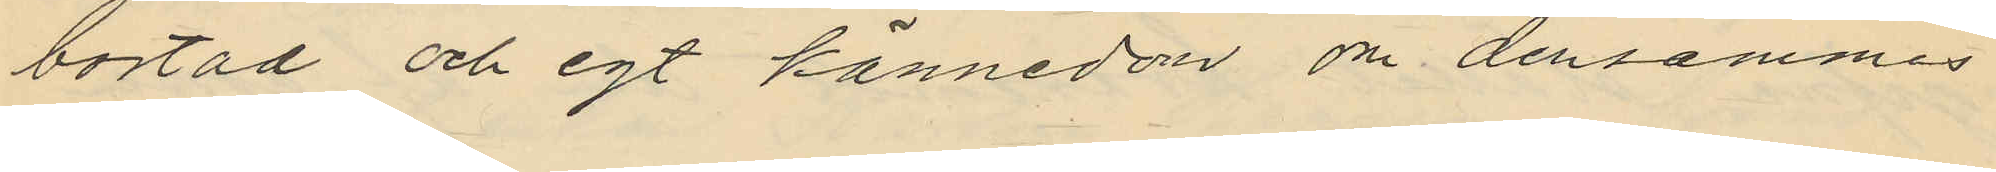bostad och egt kännedon om densammes
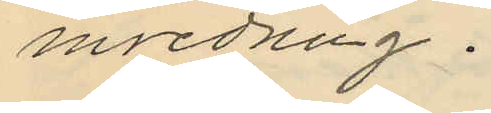inredning.
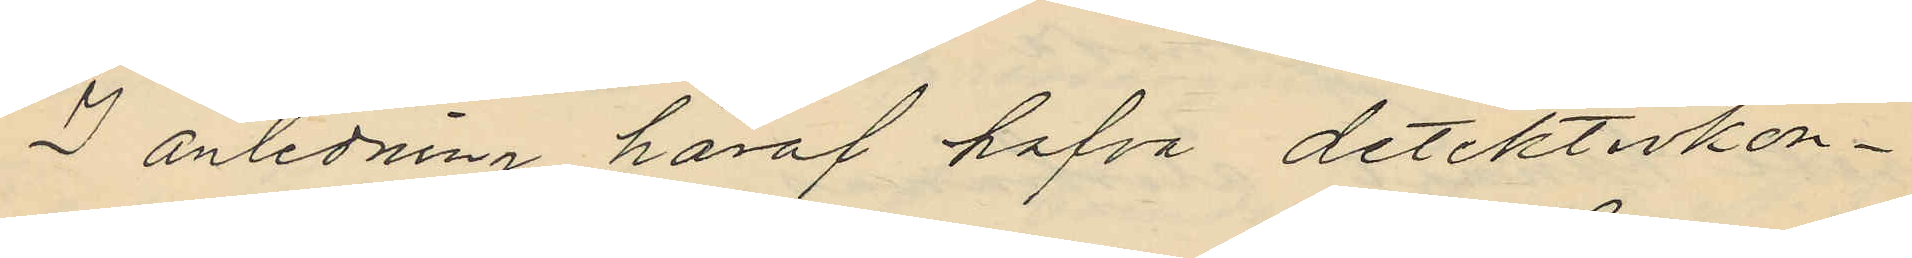I anledning häraf hafva detektivkon¬
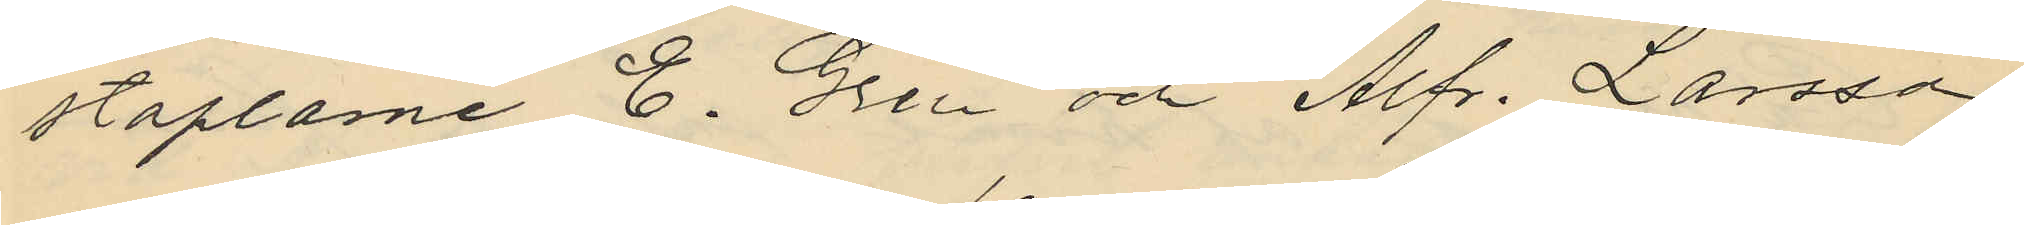staplarne E. Gren och Alfr. Larsson
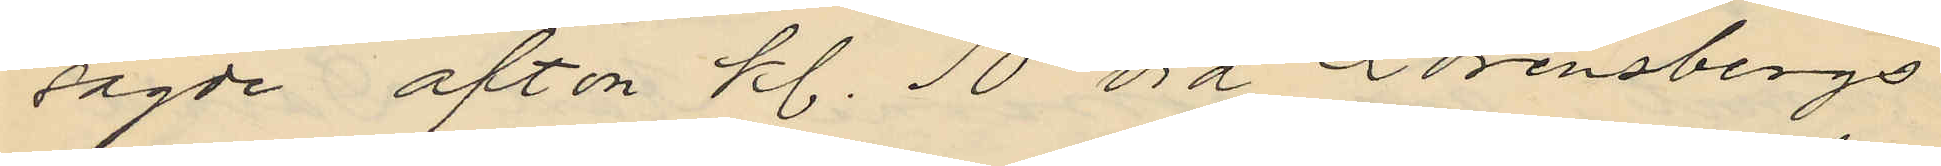sagde afton kl. 10 vid Lorensbergs
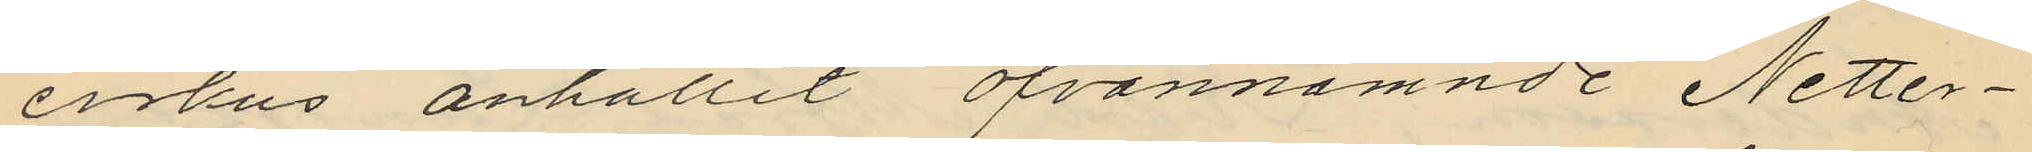cirkus anhållit ofvannämnde Netter¬
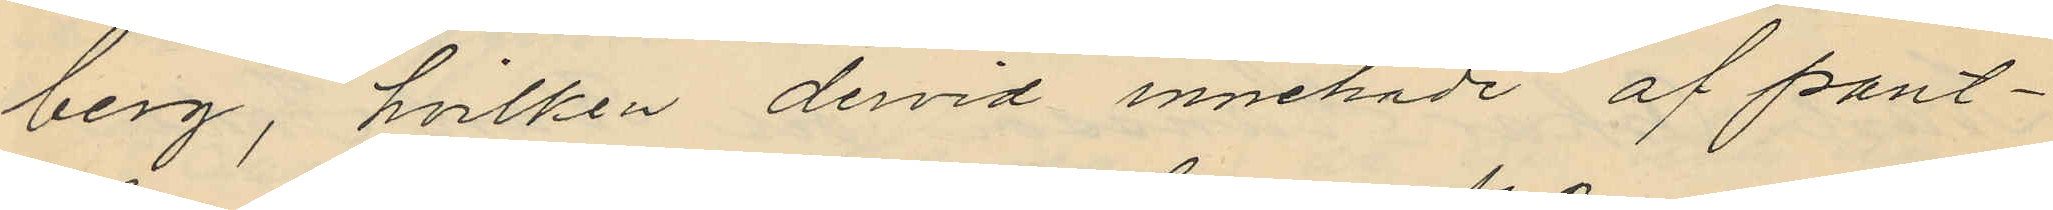berg, hvilken dervid innehade af pant¬
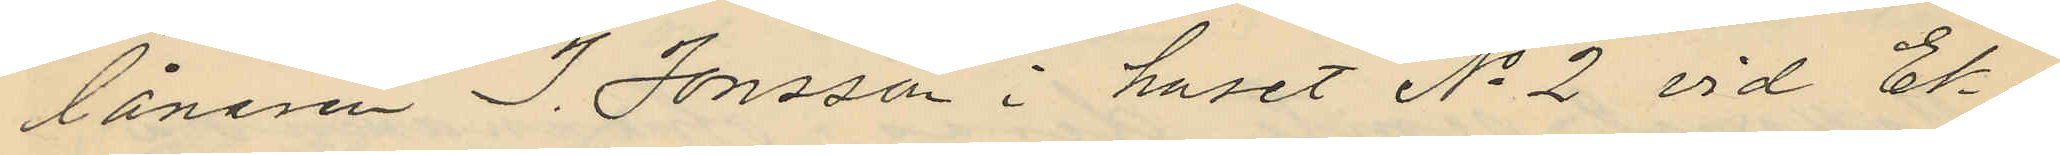lånaren J. Jonsson i huset No 2 vid Ek¬
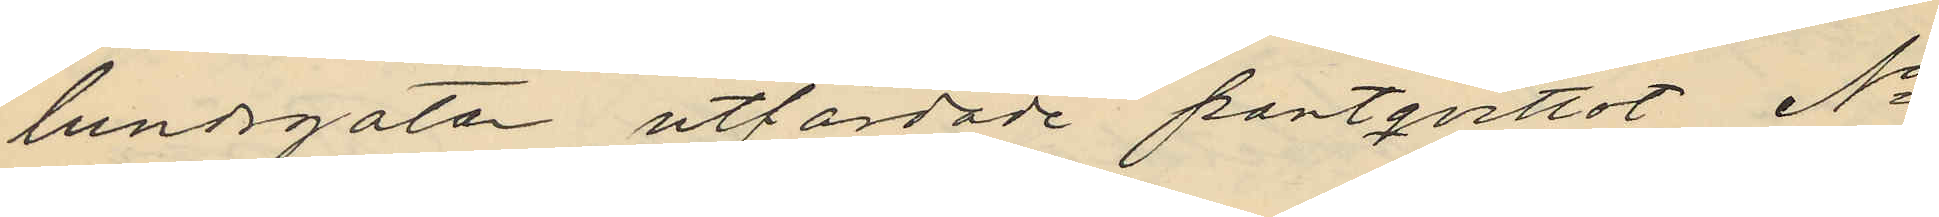lundsgatan utfärdade pantqvittot No
